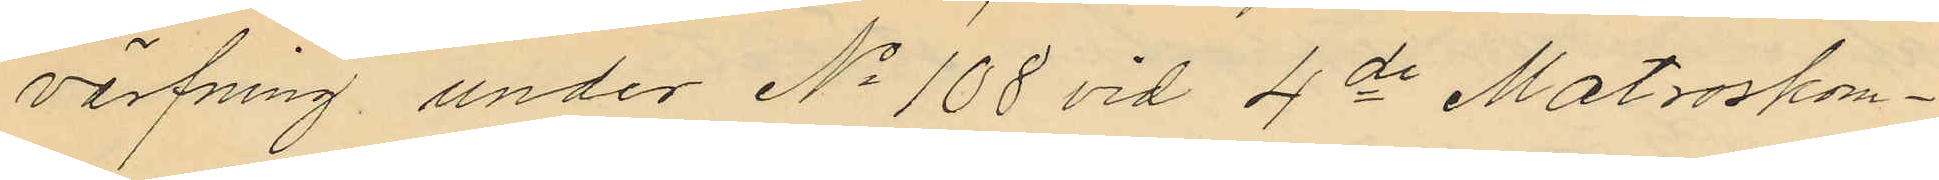värfning, under No 108 vid 4de Matroskom¬
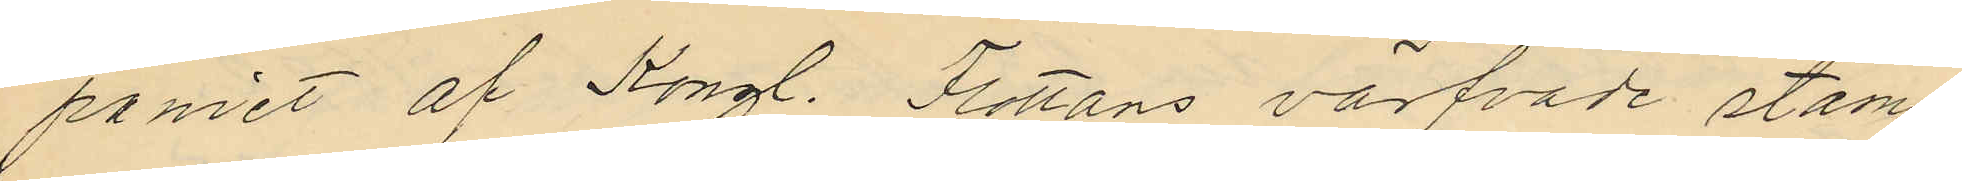paniet af Kongl. Flottans värfvade stam
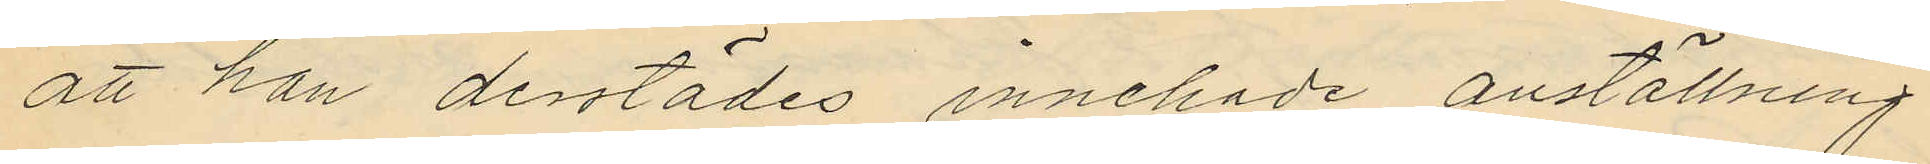att han derstädes innehade anställning
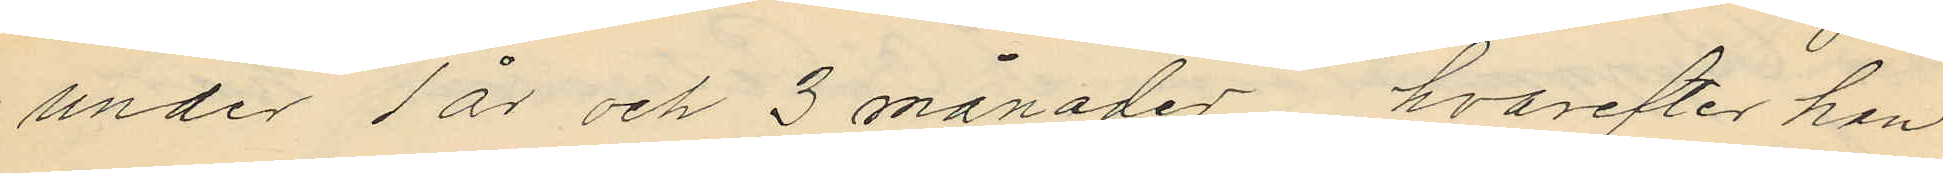under 1 år och 3 månader, hvarefter han
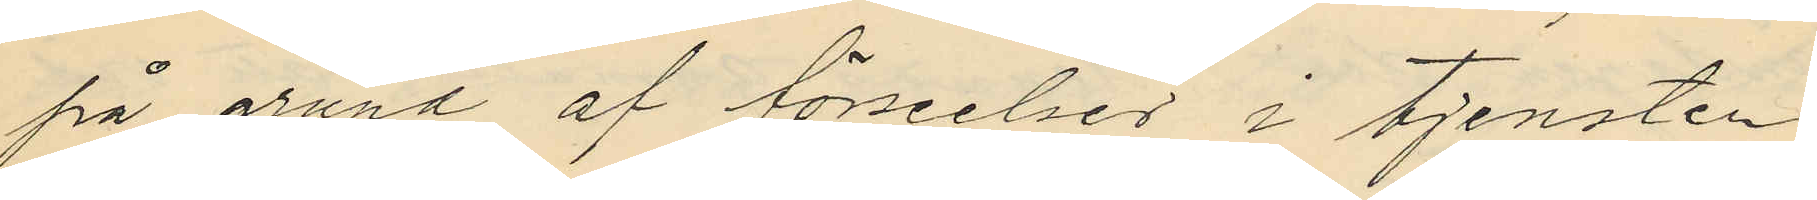på grund af förseelser i tjensten
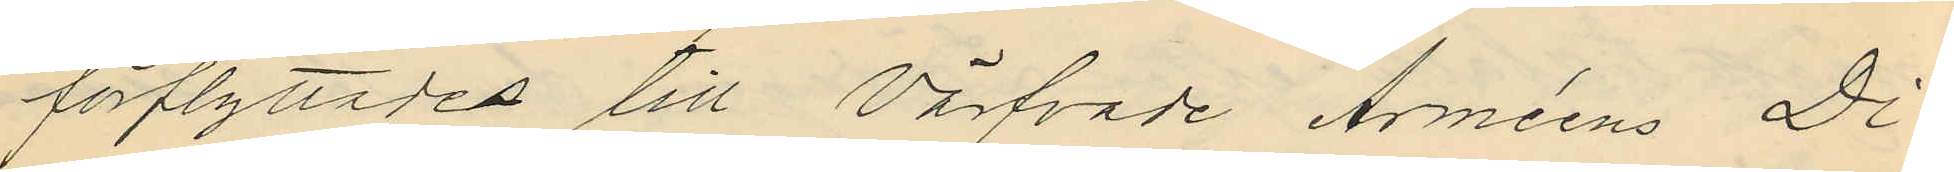förflyttades till Värfvade Arméens Di¬
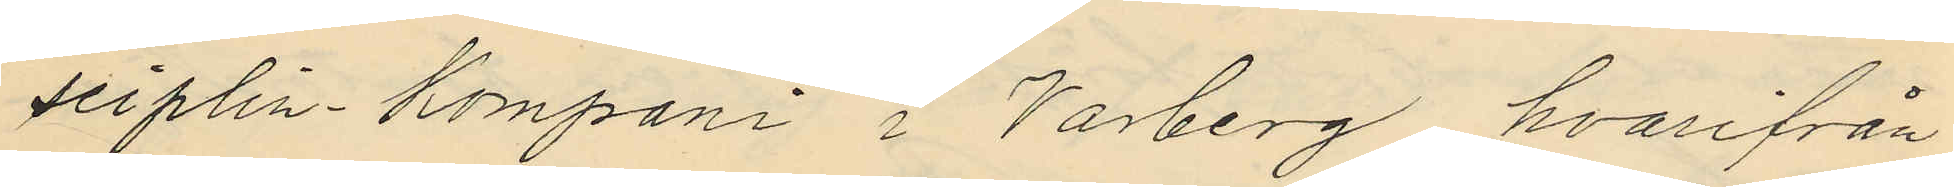seiplin- Kompani i Varberg, hvarifrån
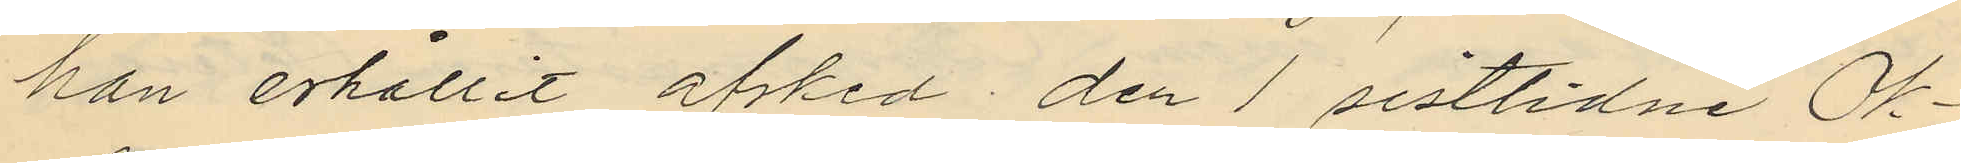han erhållit afsked den 1 sistlidne Ok¬
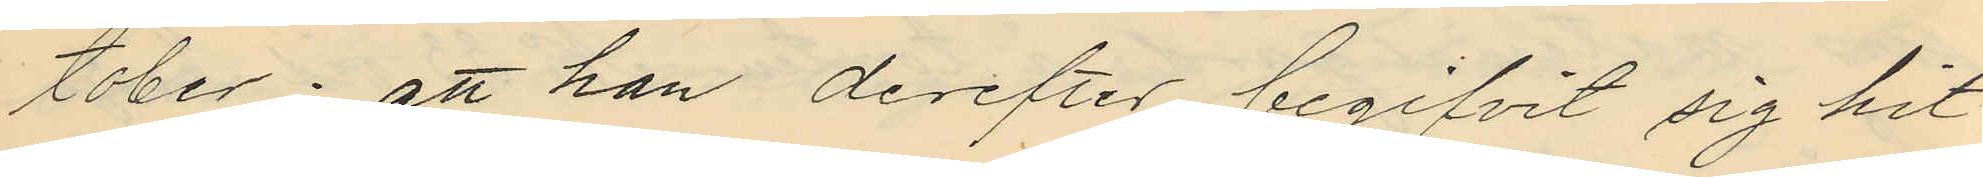tober; att han derefter begifvit sig hit
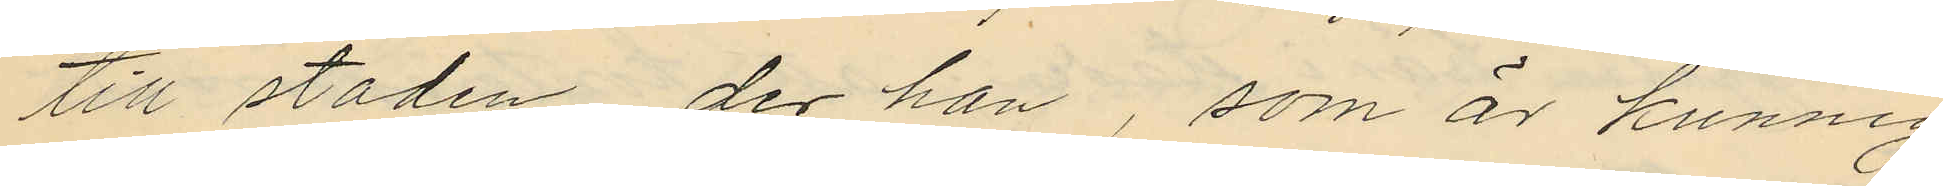till staden, der han, som är kunnig
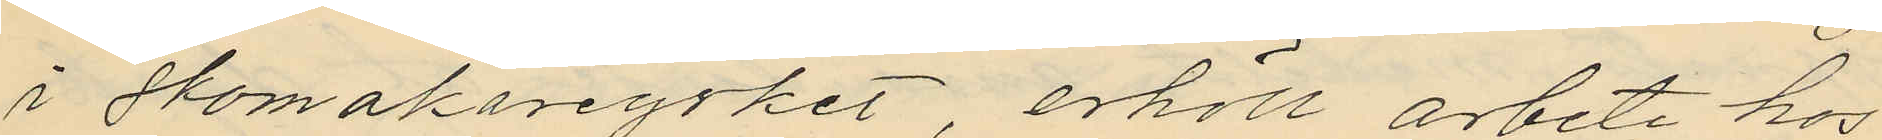i skomakareyrket, erhöll arbete hos
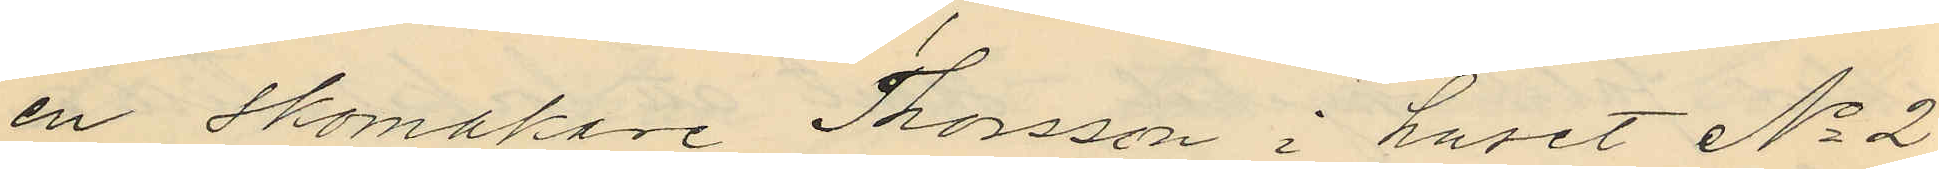en skomakare Thorsson i huset No 2
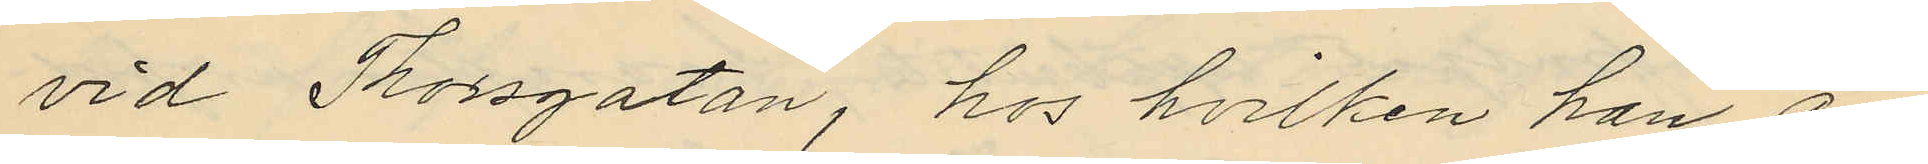vid Thorsgatan, hos hvilken han ar¬
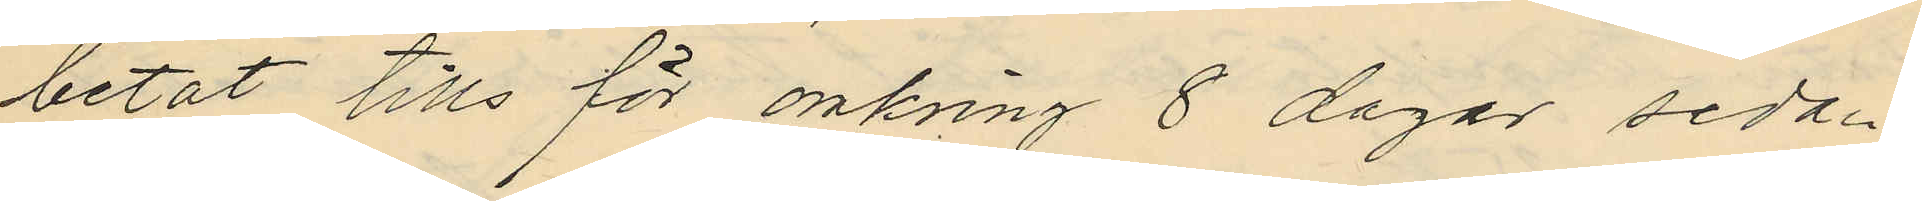betat tills för omkring 8 dagar sedan
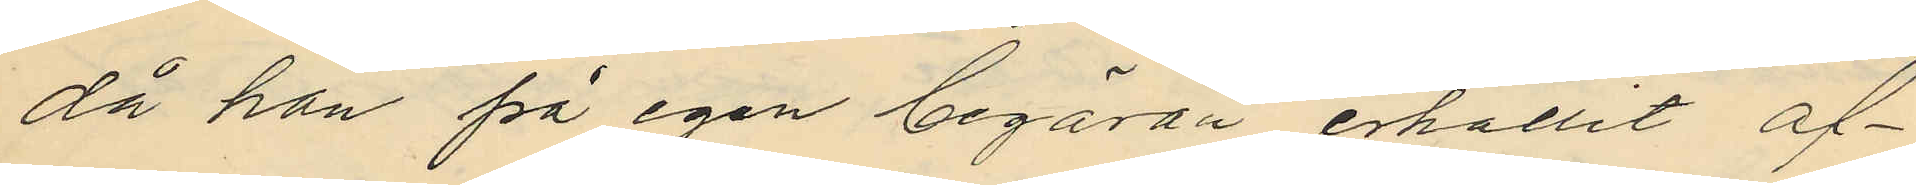då han på egen begäran erhållit af¬
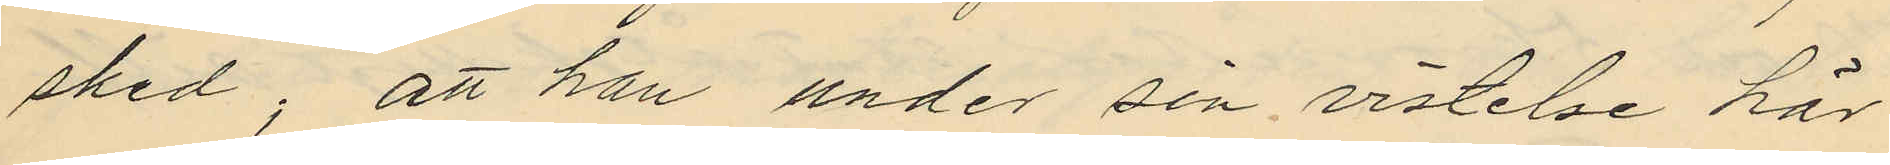sked; att han under sin vistelse här
